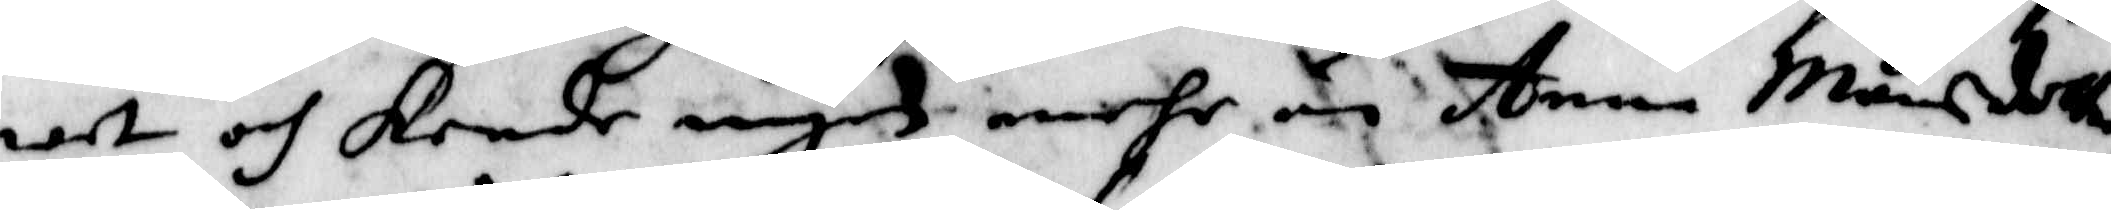wet och kende ingen mehr än Anna Månsdotter
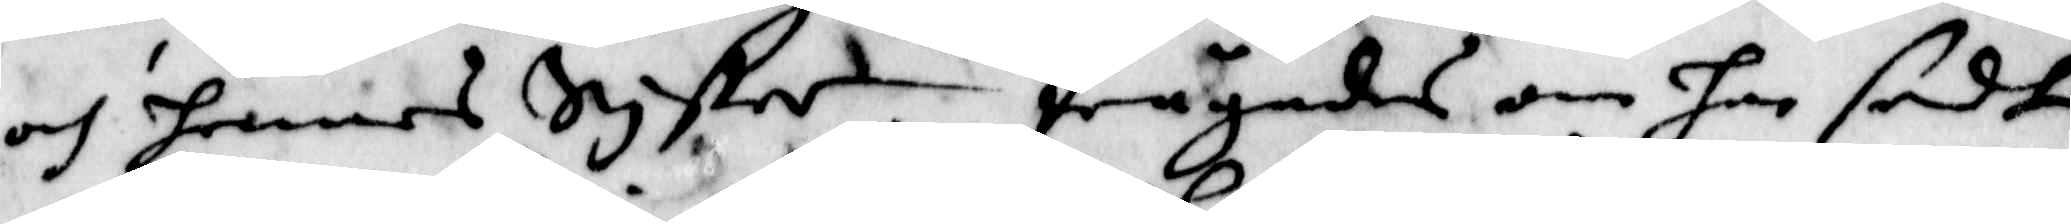och hennes Syster. frågandes om han sedt
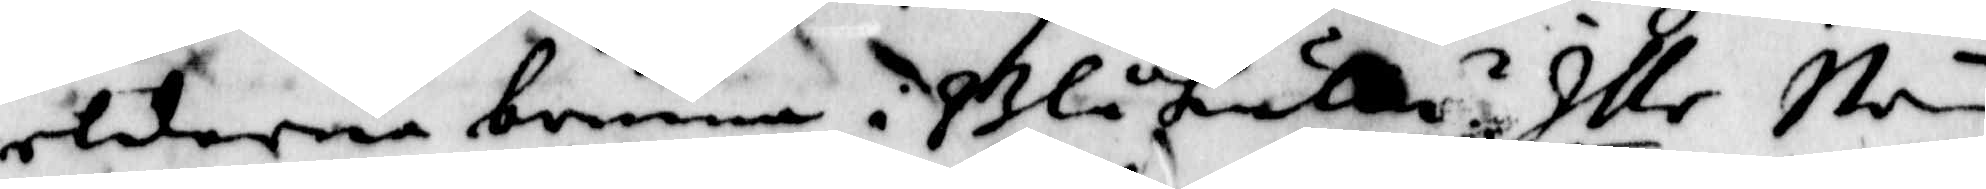eldarna brinna i Blåkulla? Illa Ney.
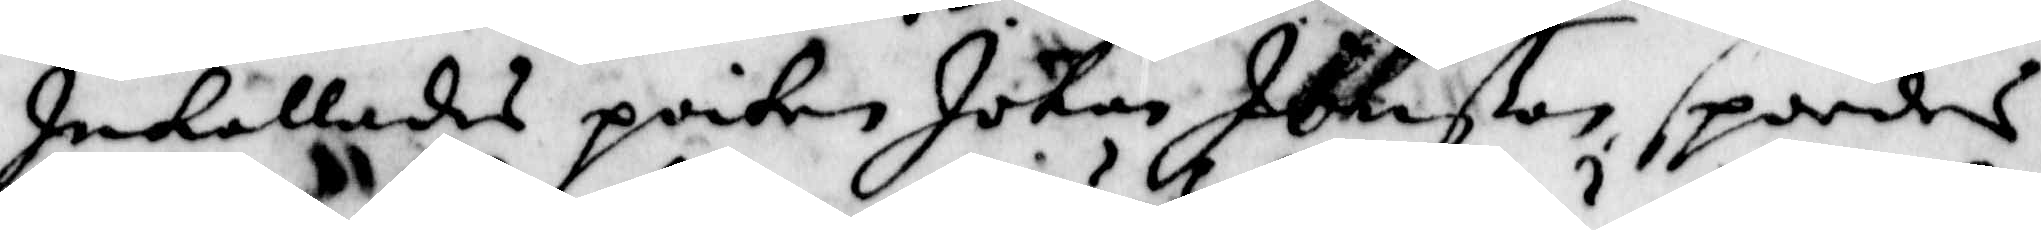Inkallades poiken Johan Johnßon, spordes
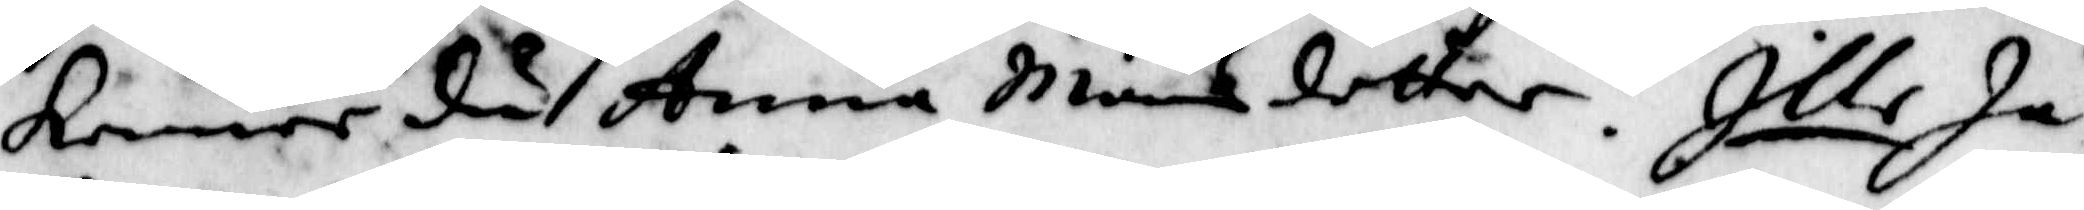kenner du Anna Månsdotter? Ille Ja,
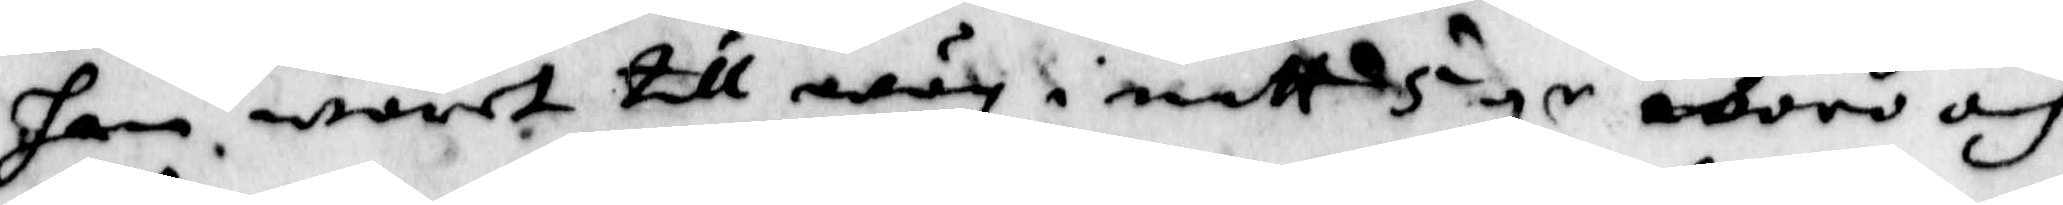han waret till wäg i natt 5 gr woro och
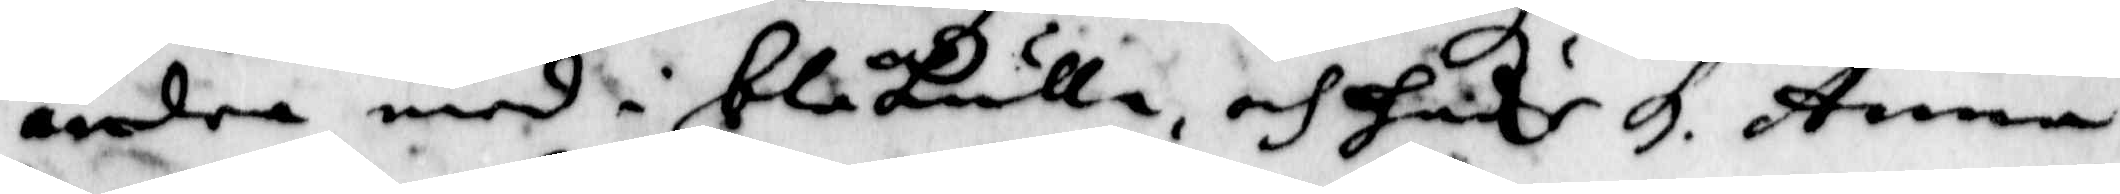andra med i blåkulla, och hade h. Anna
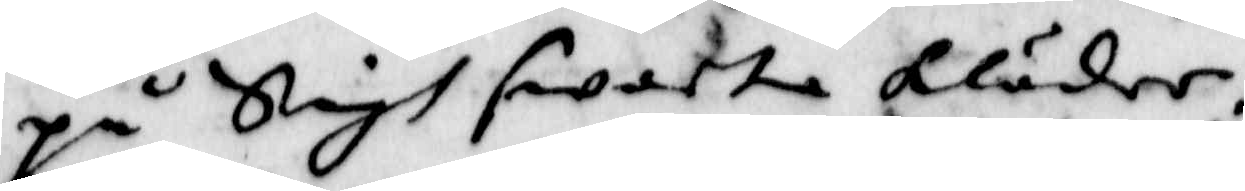på Sigh swarta kläder.
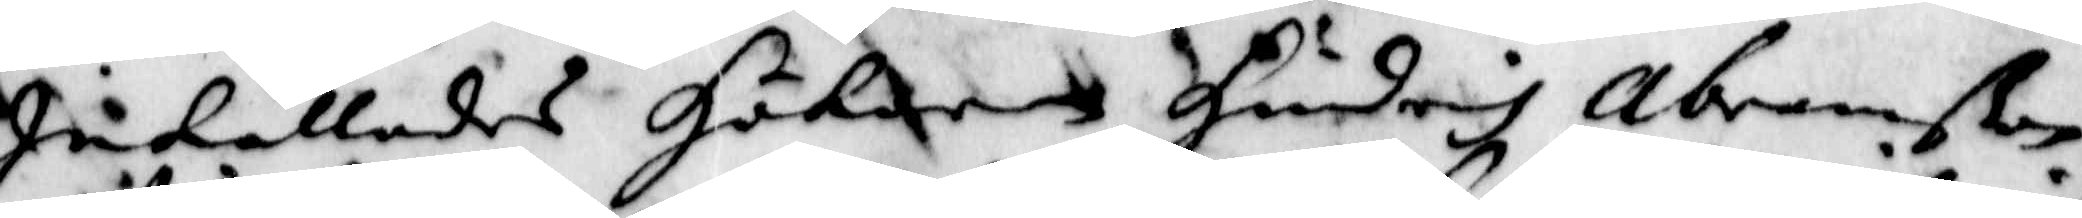Inkallades Hökaren Hindrih Abramßon
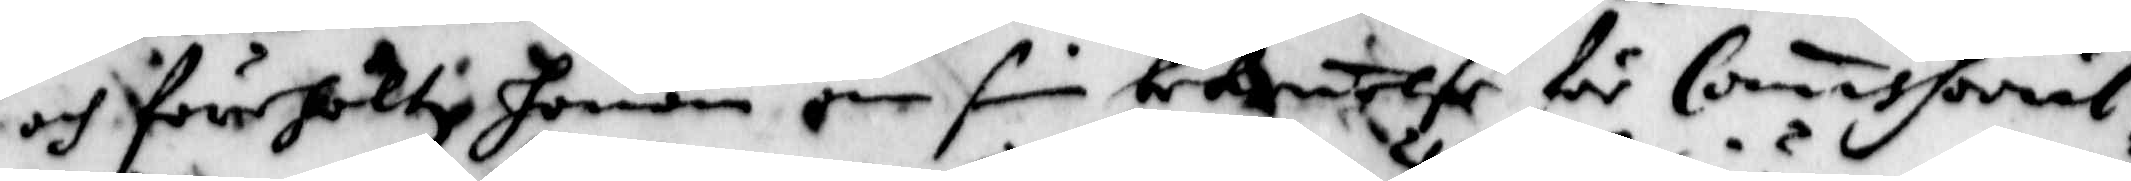och förehöltz honom om sin bekenelse för Comissorial¬
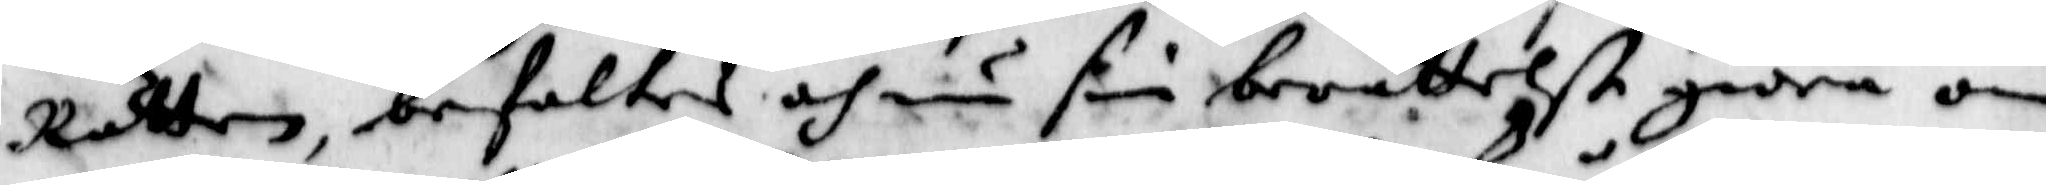Rätten, befaltes och nu sin berättelße giöra om
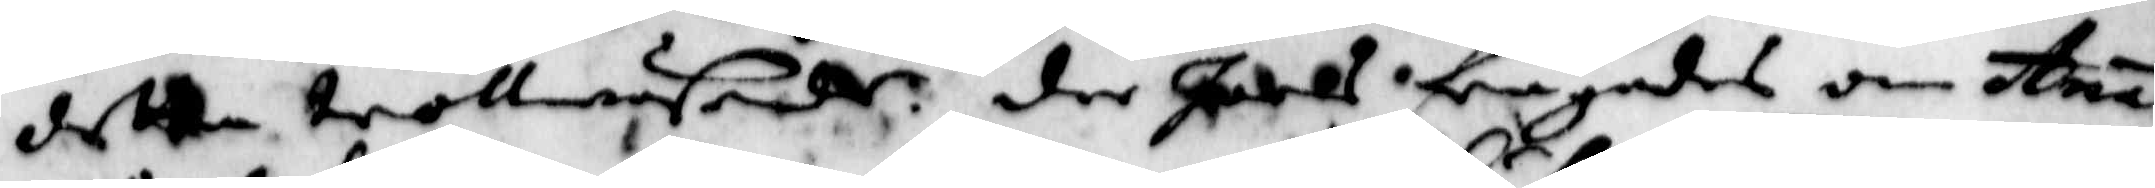detta trollwäsende der Joels frågades om Ana
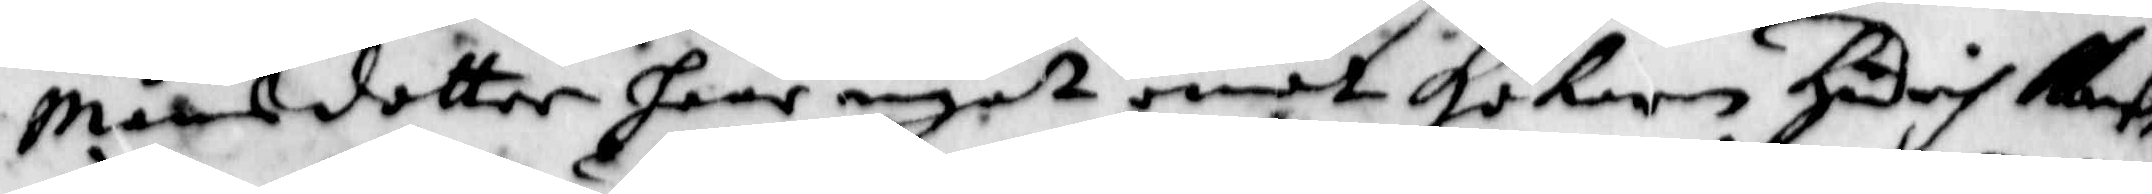Månsdotter haar något emot Hökaren Händsih haf
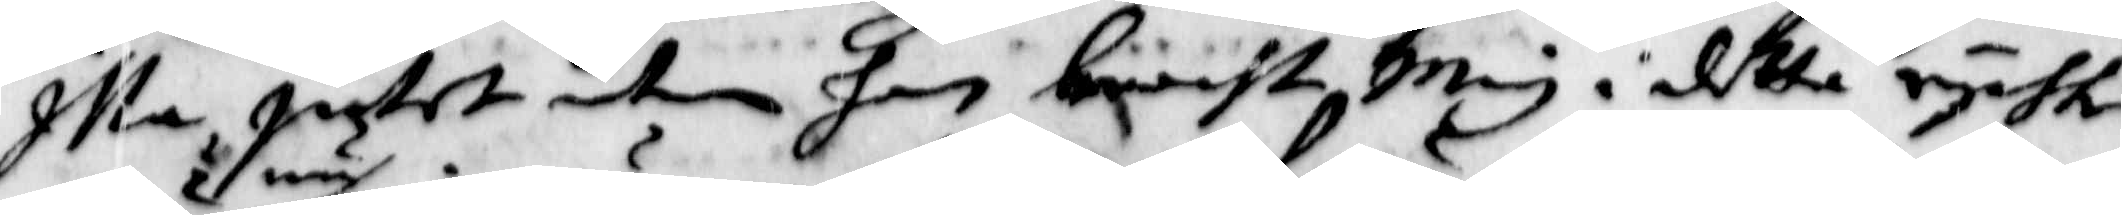Illa Intet utan han bracht Mig i detta rychte
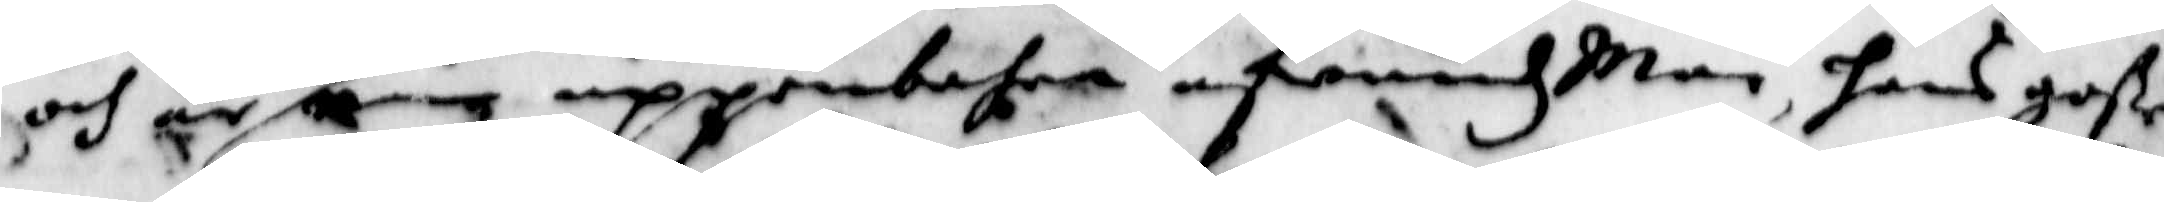och är nu min uppenbahra afund Man, hans goße
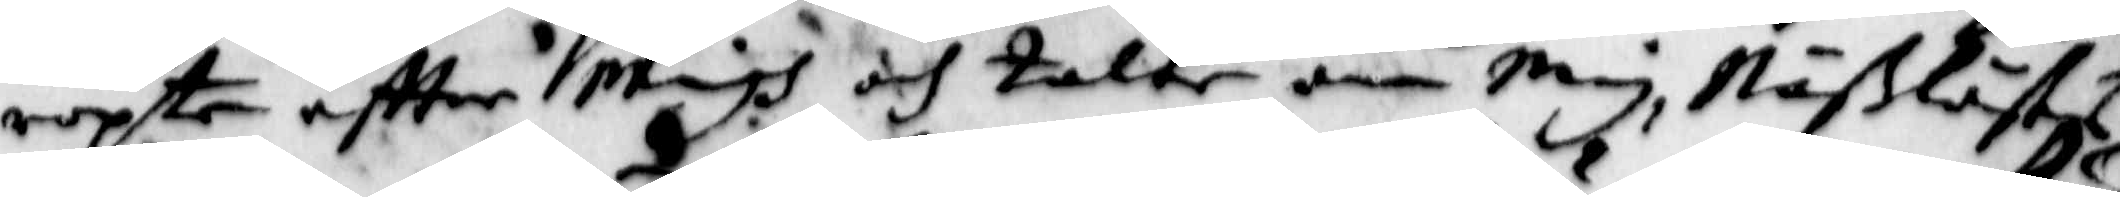ropte eftter Migh och talte om Mig, Näßlöstes
